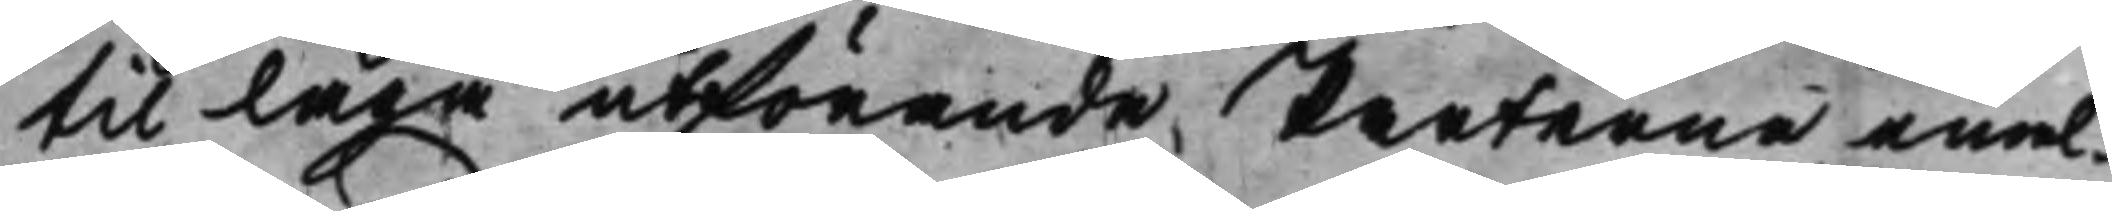til laga utförande Perterne emel¬
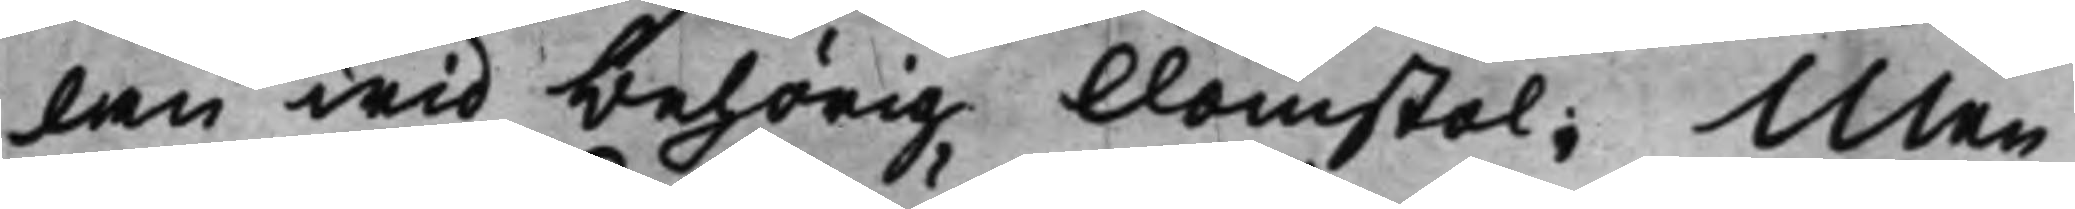lan wid behörig Domstol; Men
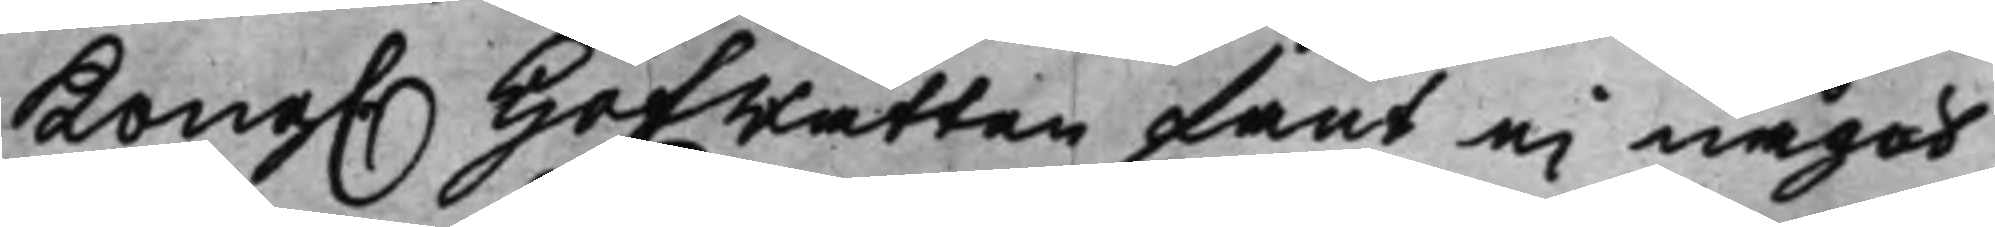Kong. Hofrätten fant ei något
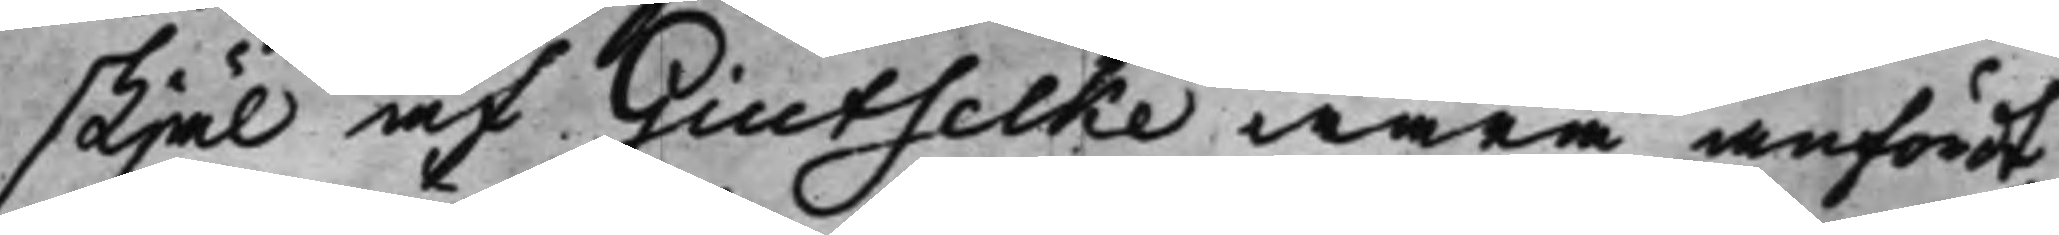skjäl af Giutselke wara anfördt
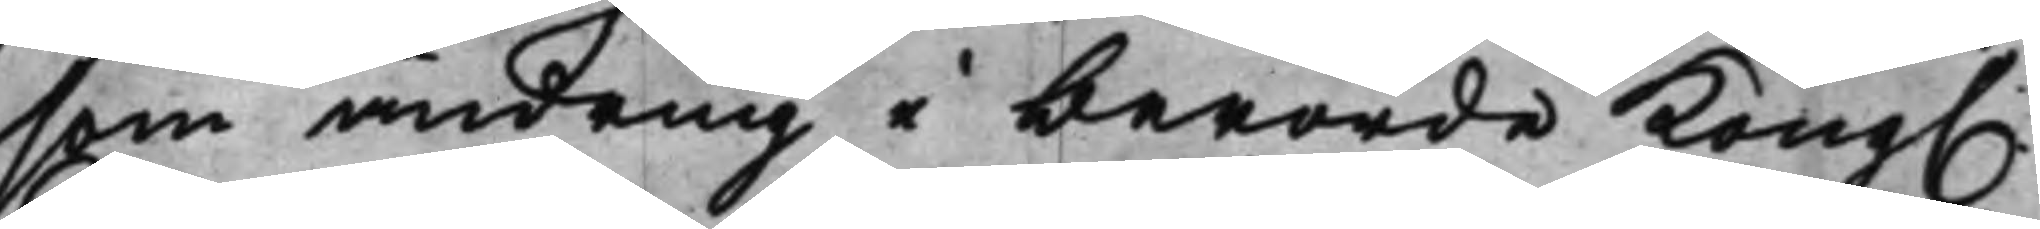som ändring i berörde Kong.
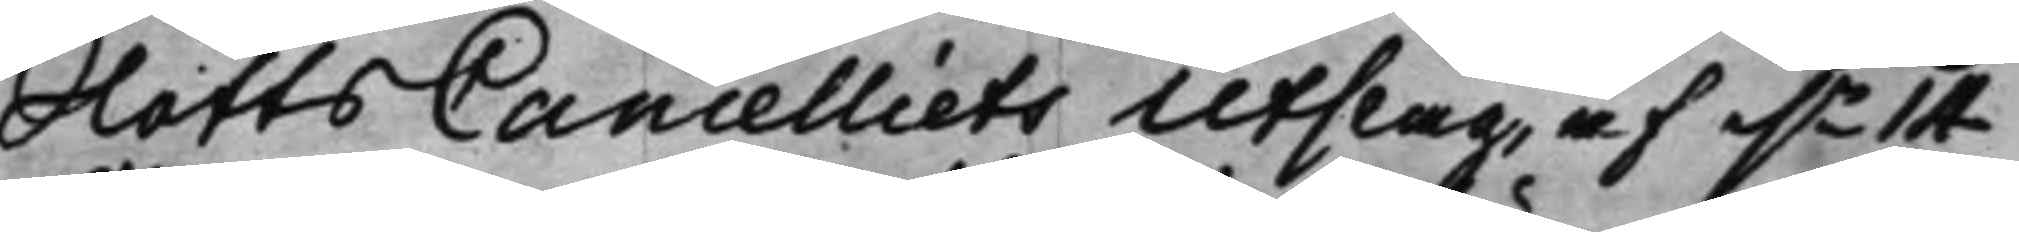SlottsCancelliets Utslag, af d.n 14
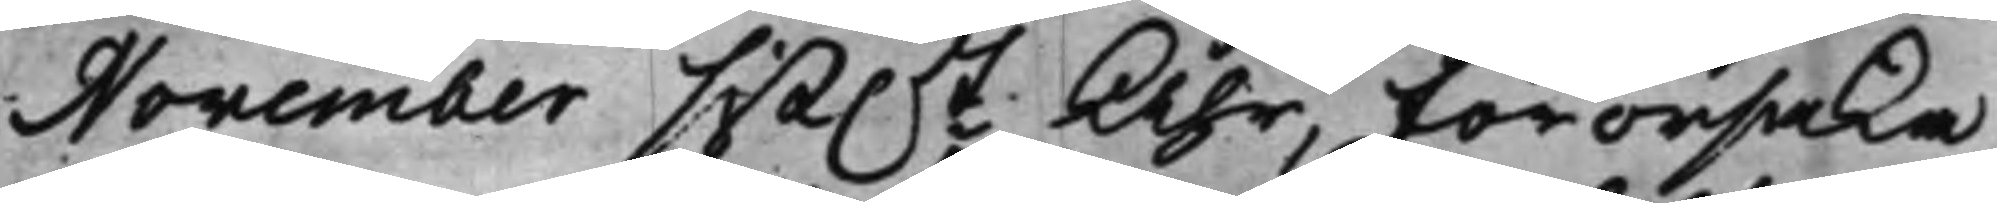November sist.t Åhr, förorsaka
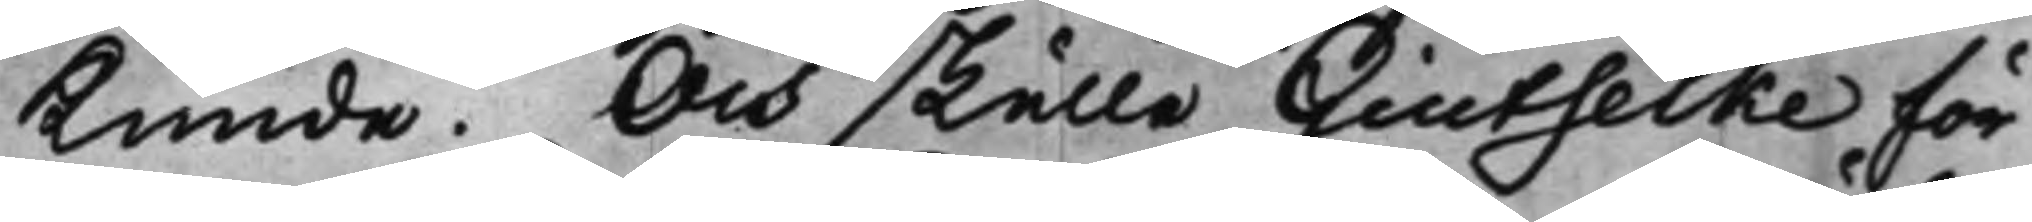Kunde. Och skulle Giuetselke för
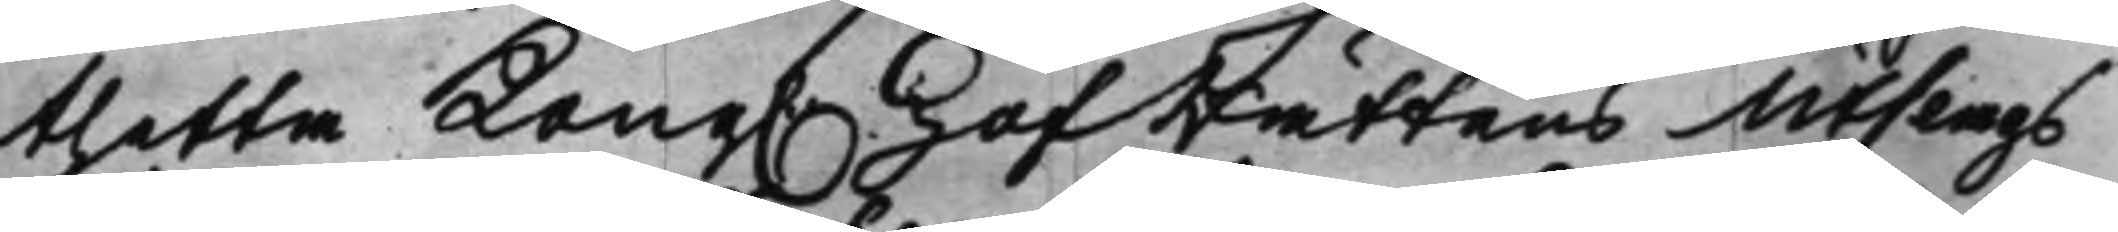thetta Kong. HofRättens Utslags
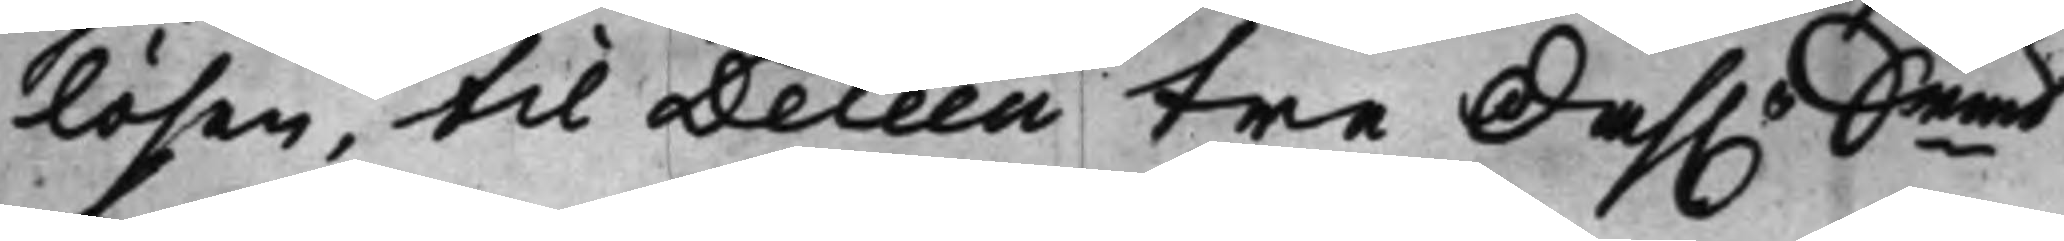lösen, til Deleen tre Dah.r Srmt
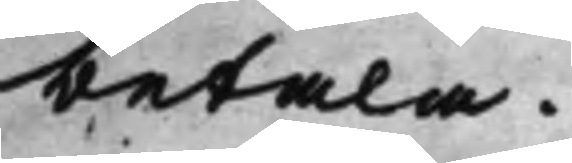betala.
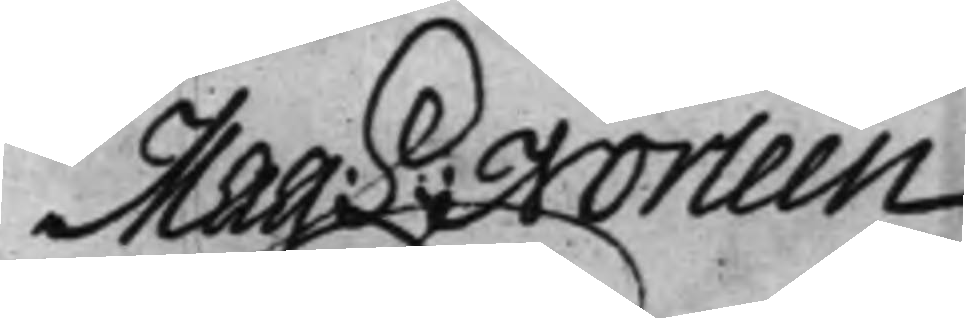Mag: S: Norleen
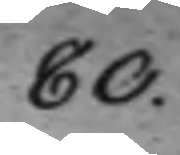80.
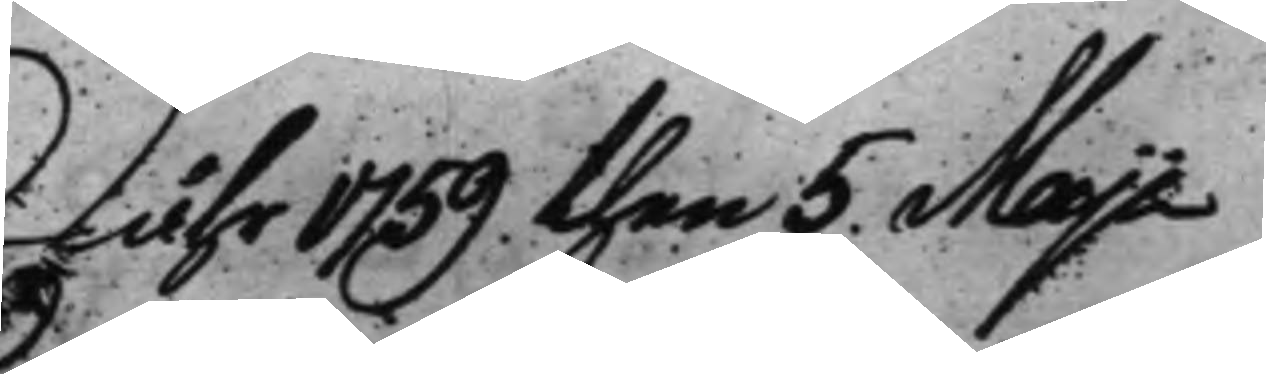Åhr 1759 then 5. Maji
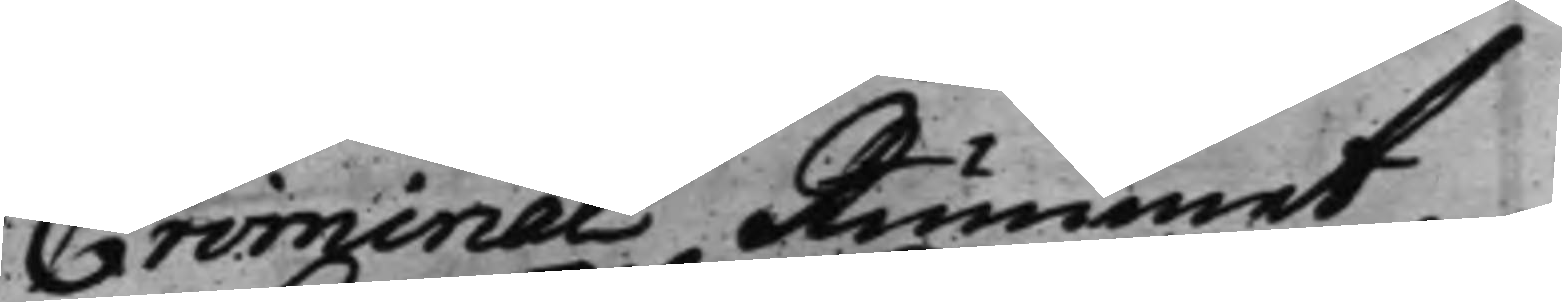Criminal Rummet
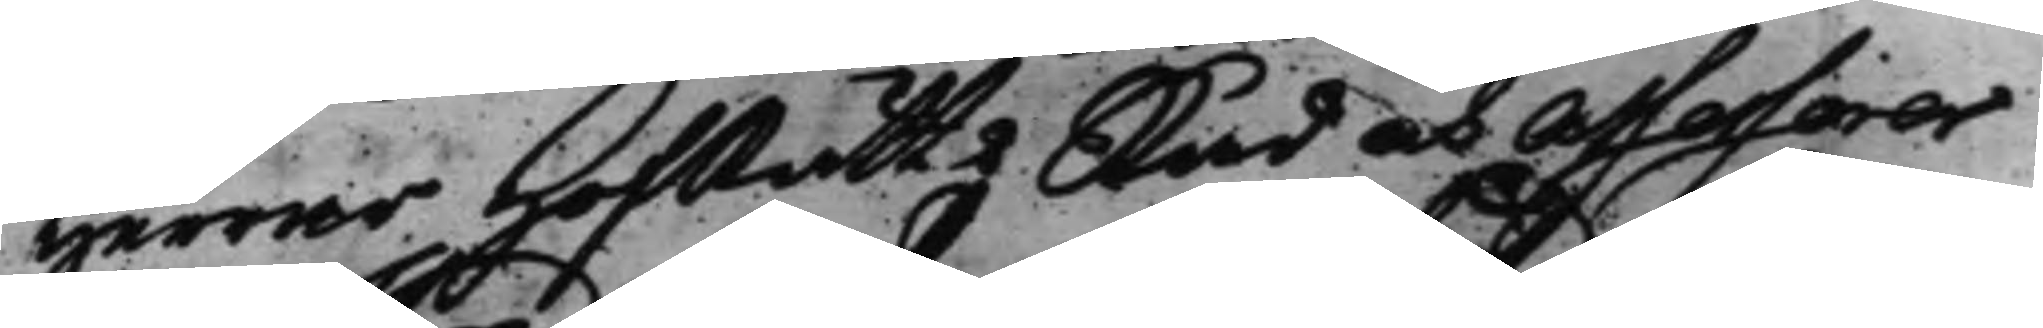Herrar HofRätts Råd och Assessorer
